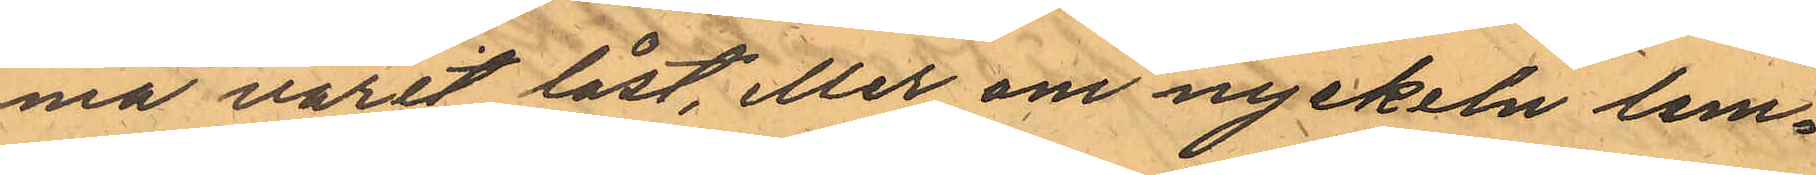ma varit låst, eller om nyckeln lem¬
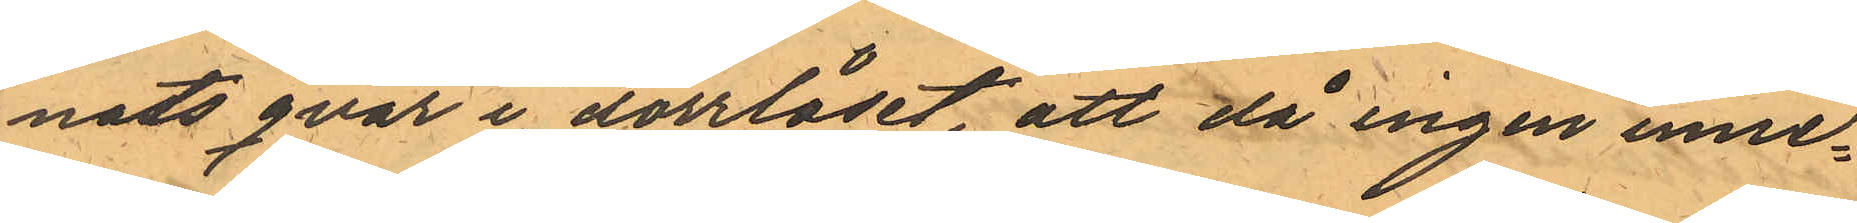nats qvar i dörrlåset, att då ingen inne¬
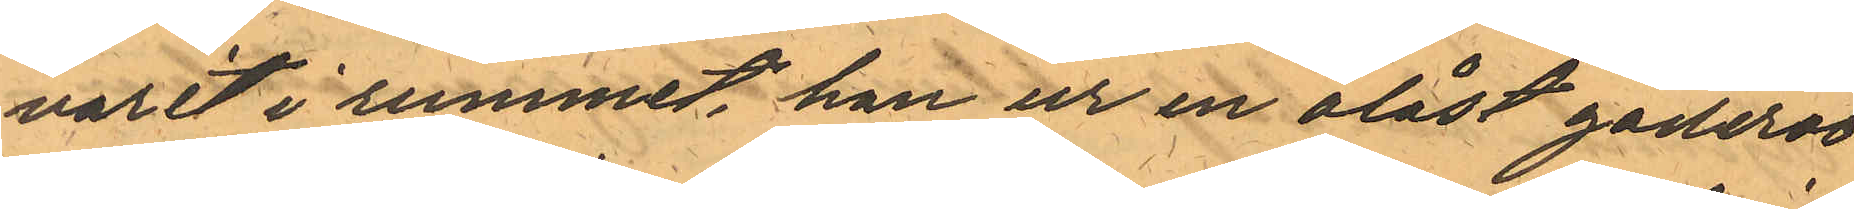varit i rummet han ur en olåst gaderob
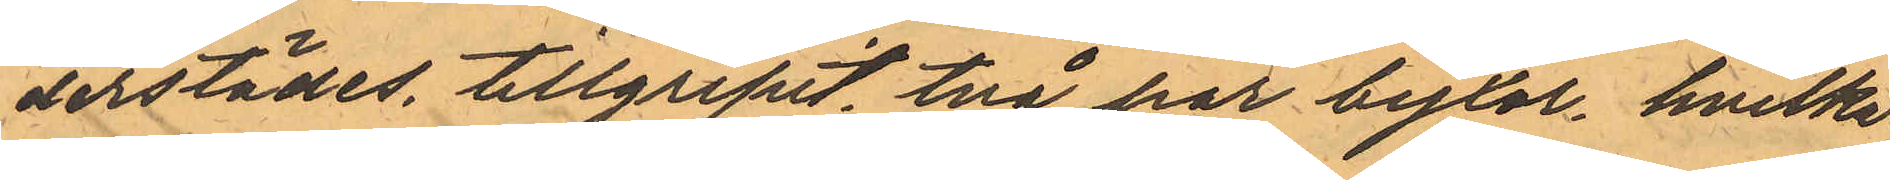derstädes, tillgripit, två par byxor, hvilke
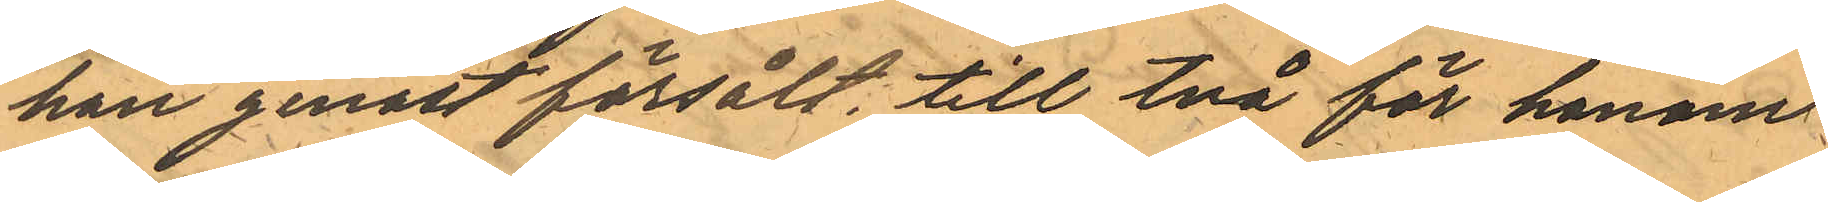han genast försålt, till två för honom
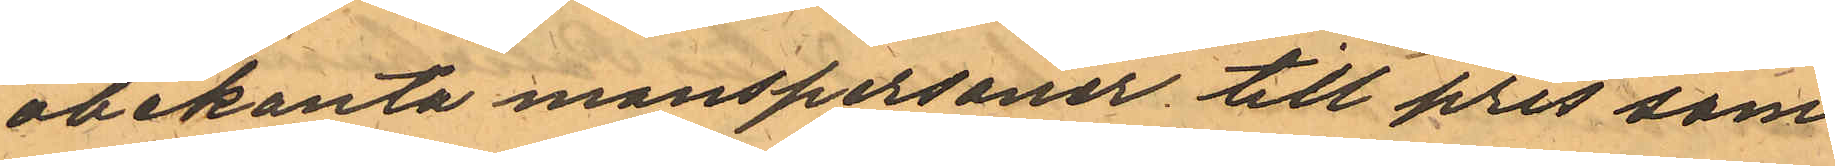obekanta manspersoner till pris som
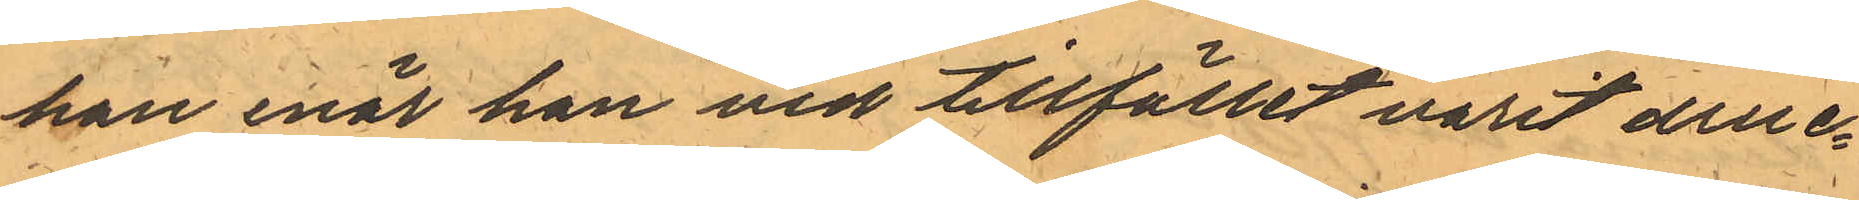han enär han vid tillfället varit druc-
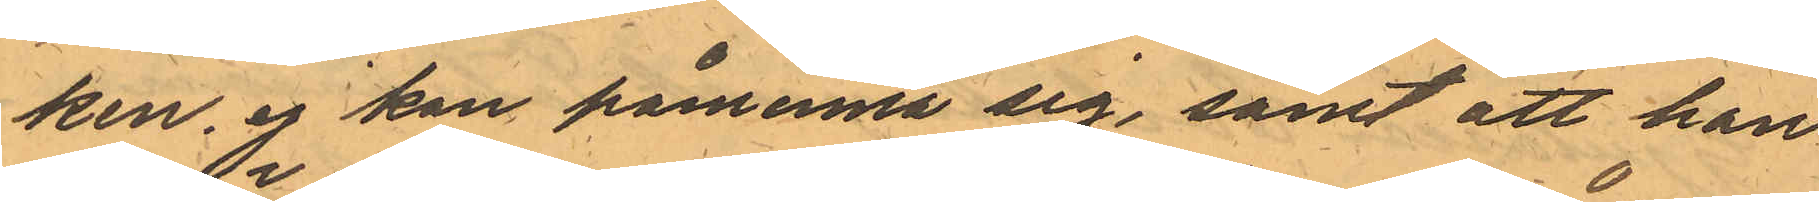ken, ej kan påminna sig, samt att han
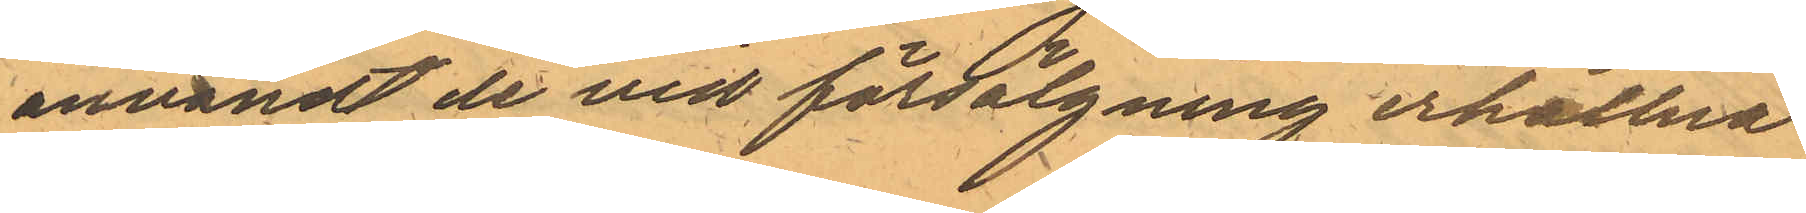användt de vid försälgning erhållna
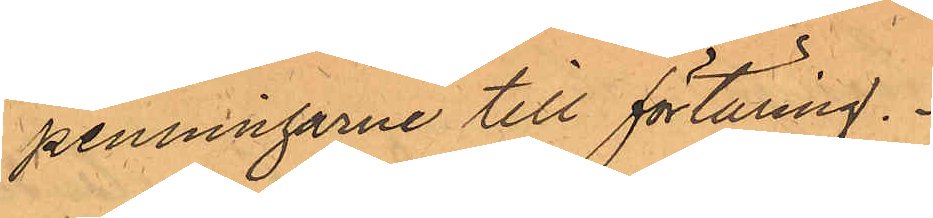penningarne till förtäring.
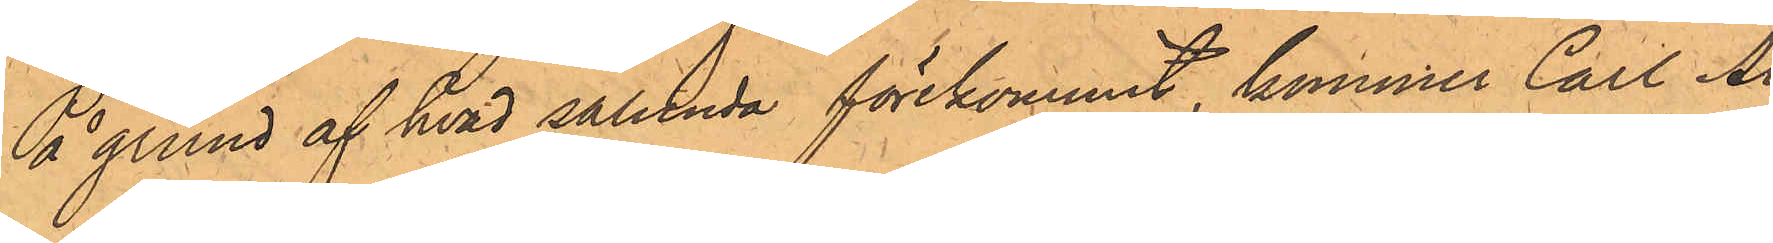På grund af hvad sålunda förekommit, kommer Carl Al¬
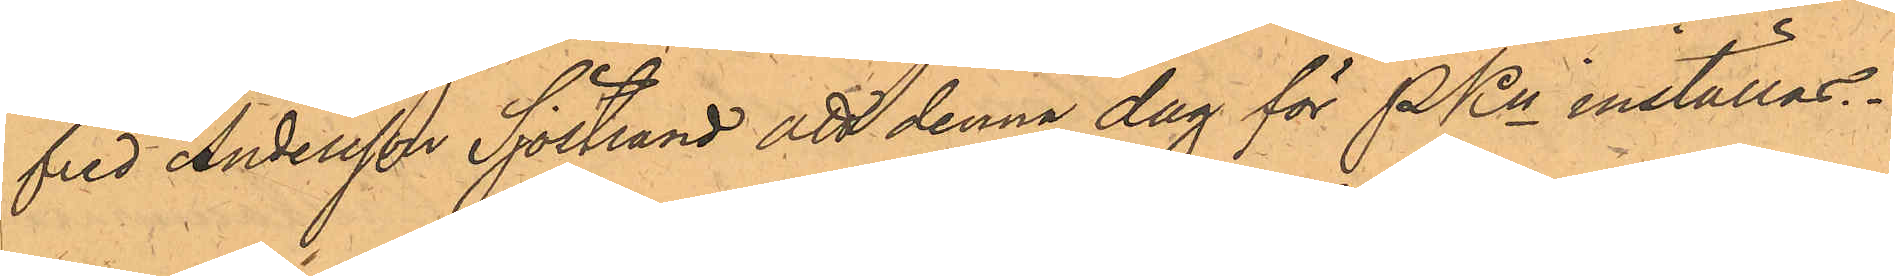fred Andersson Sjöstrand att denna dag för PKn inställas.
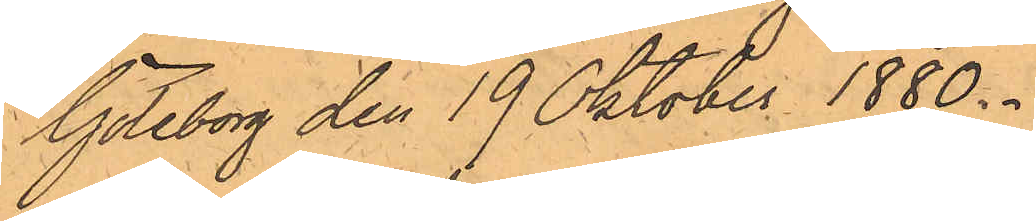Göteborg den 19 Oktober 1880.
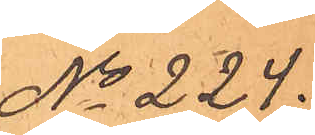No 224.
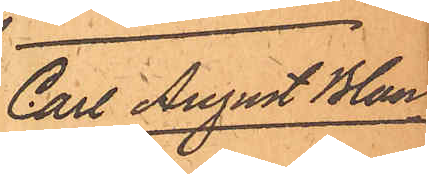Carl August Blan¬
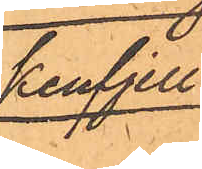kenfjell.
